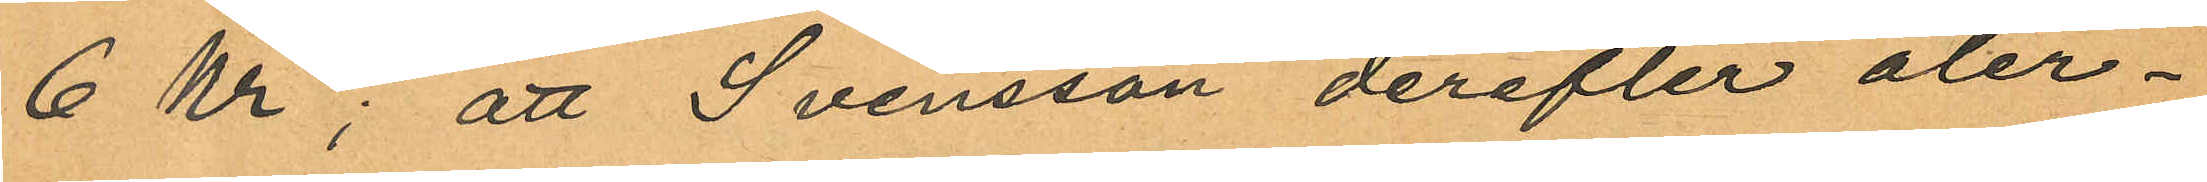6 Kr; att Svensson derefter åter¬
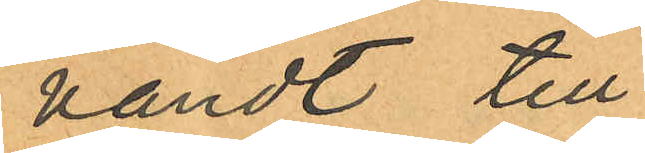vändt till
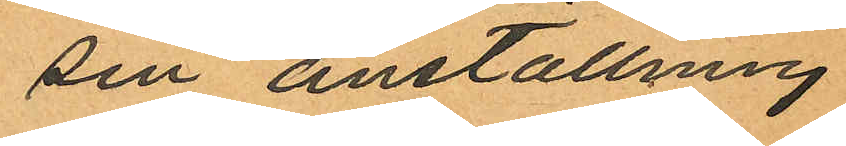sin anställning
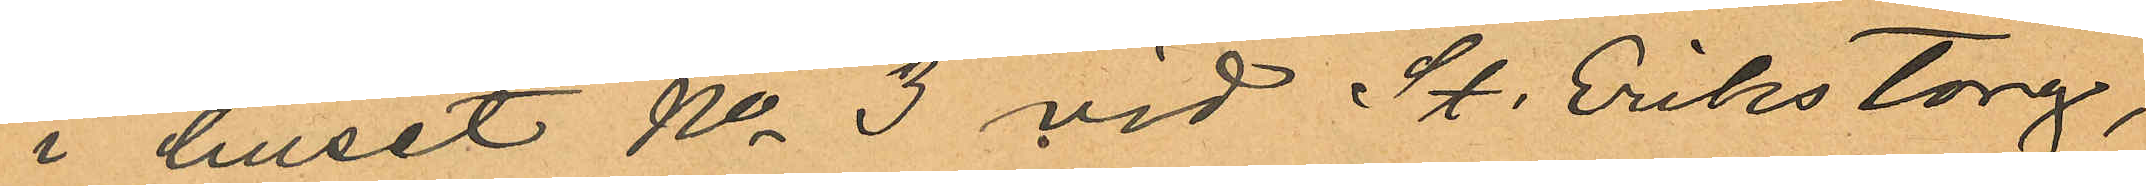i huset No 3 vid St. Eriks torg,
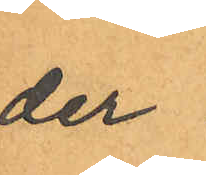der
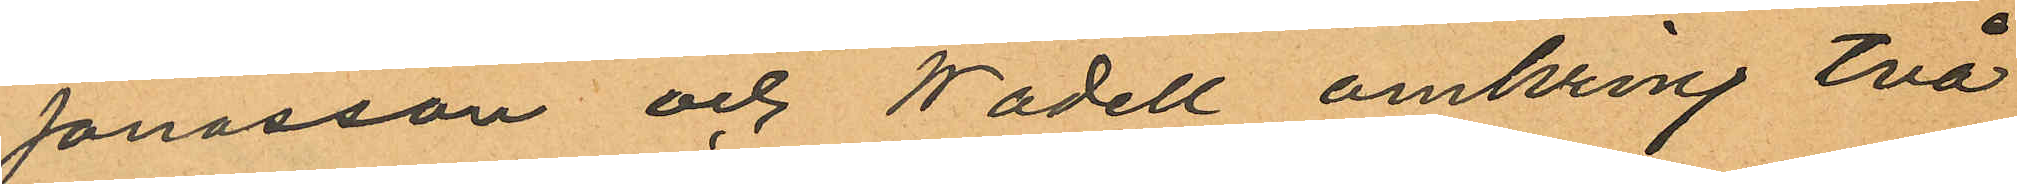Jonasson och Wadell omkring två
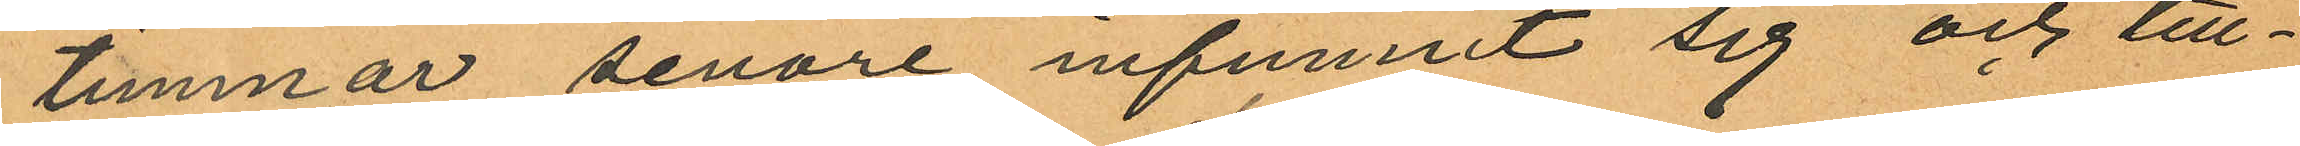timmar senare infunnit sig och till¬
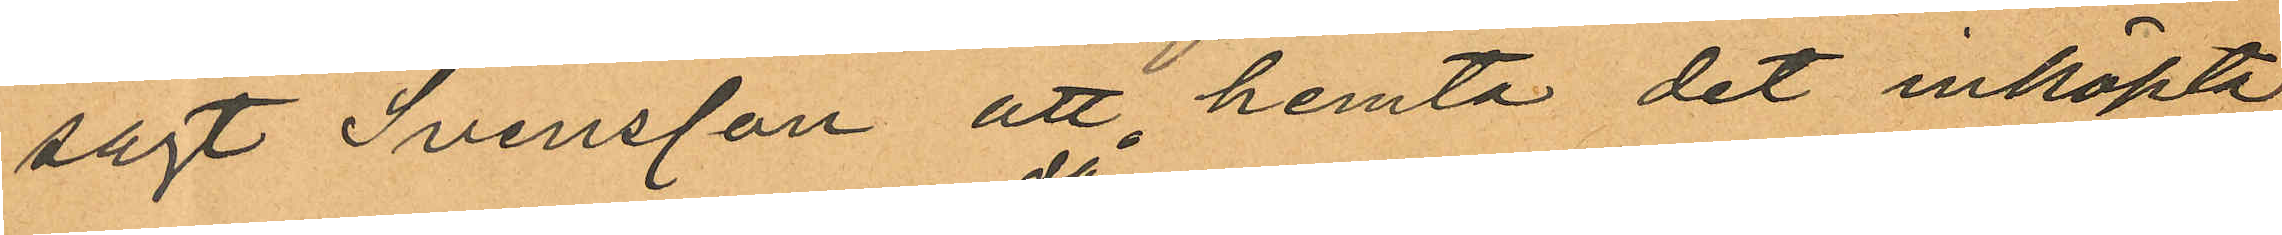sagt Svensson att hemta det inköpta
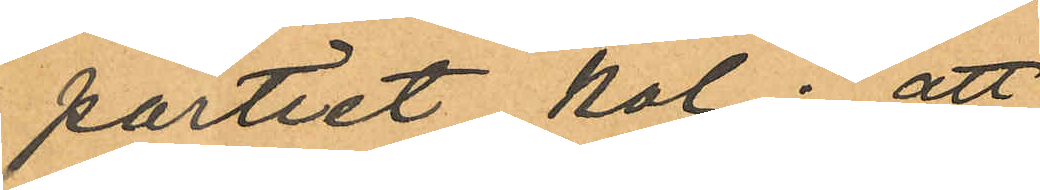partiet kol; att
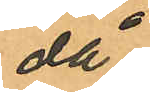då
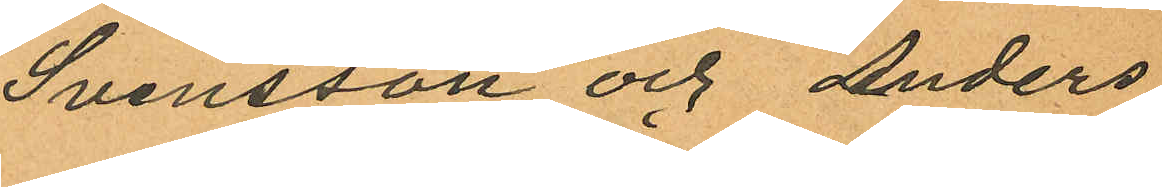Svensson och Anders
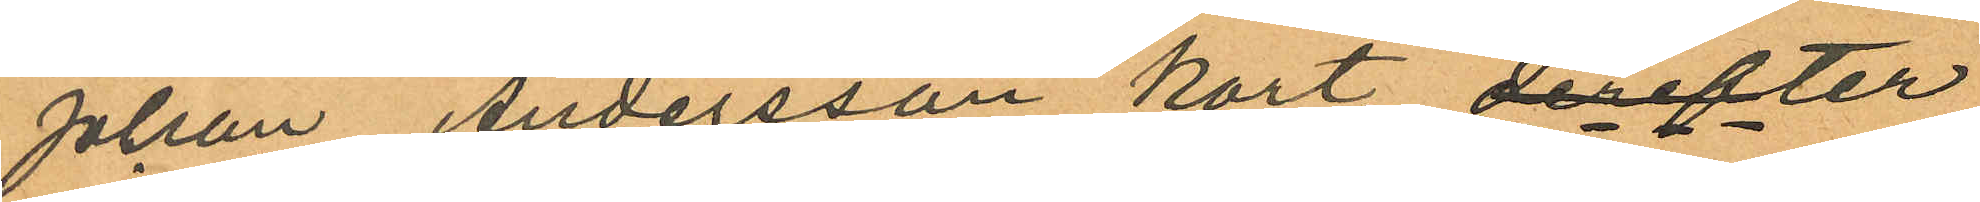Johan Andersson kort derefter
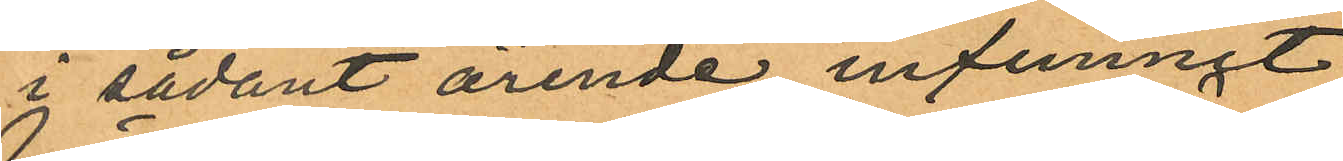i sådant ärende infunnit
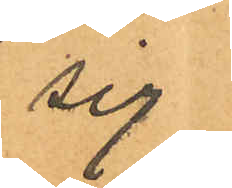sig
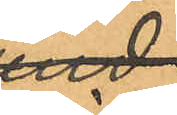vid
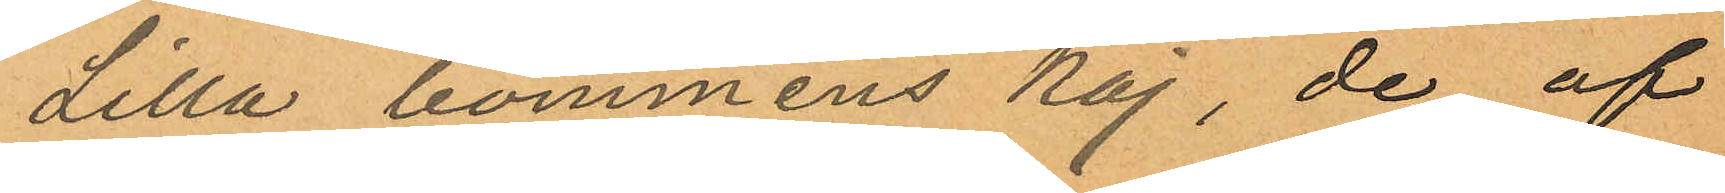Lilla bommens kaj, de af
